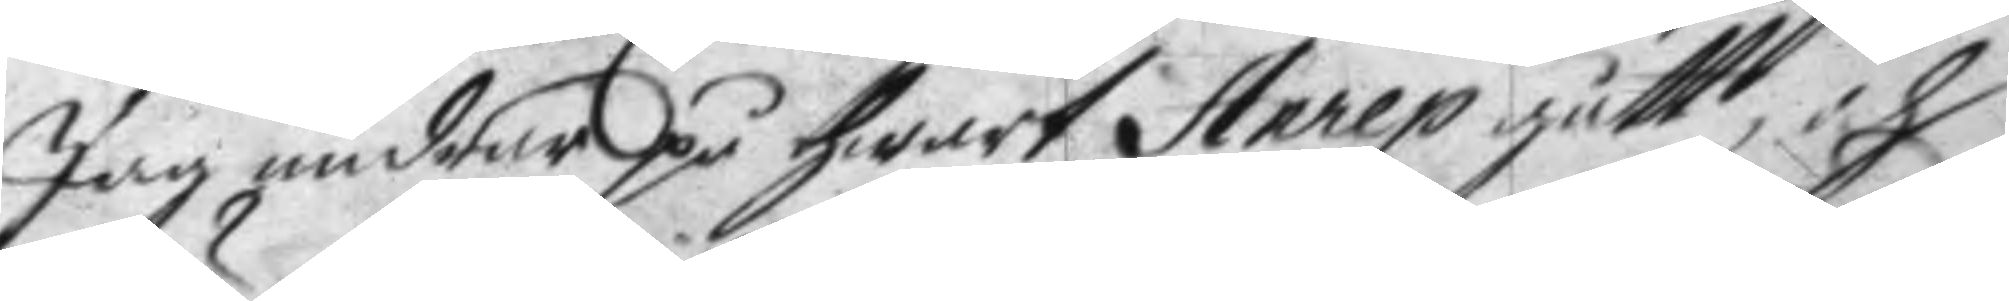Jag undrar på hwart Anrep gått,
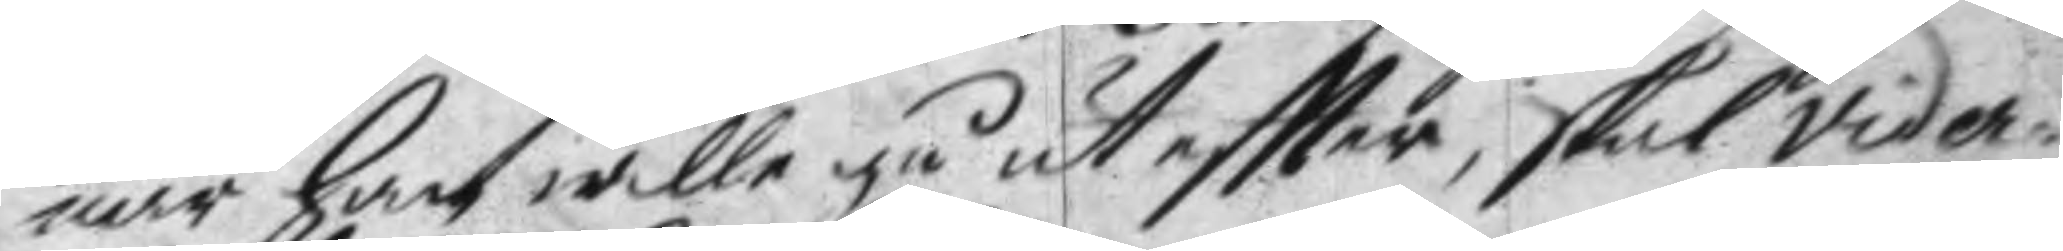när han wille gå ut eftter, skal vider¬
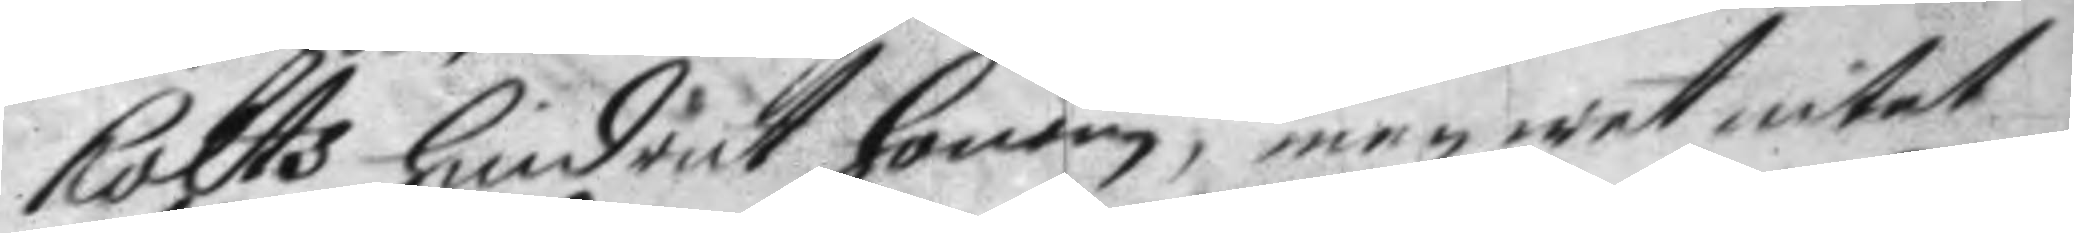holts hindrit honom, men wet intet
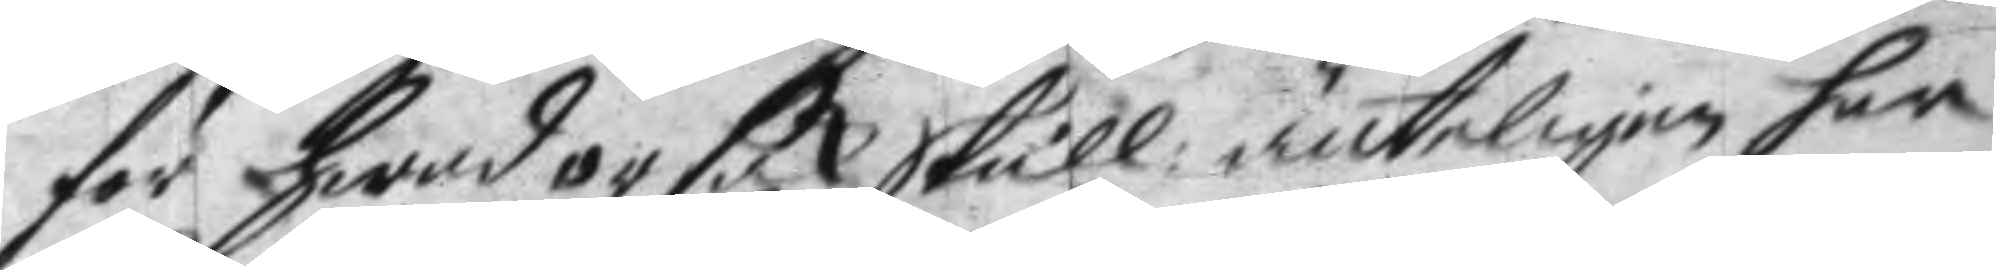för hwad orsak skull: änteligen har
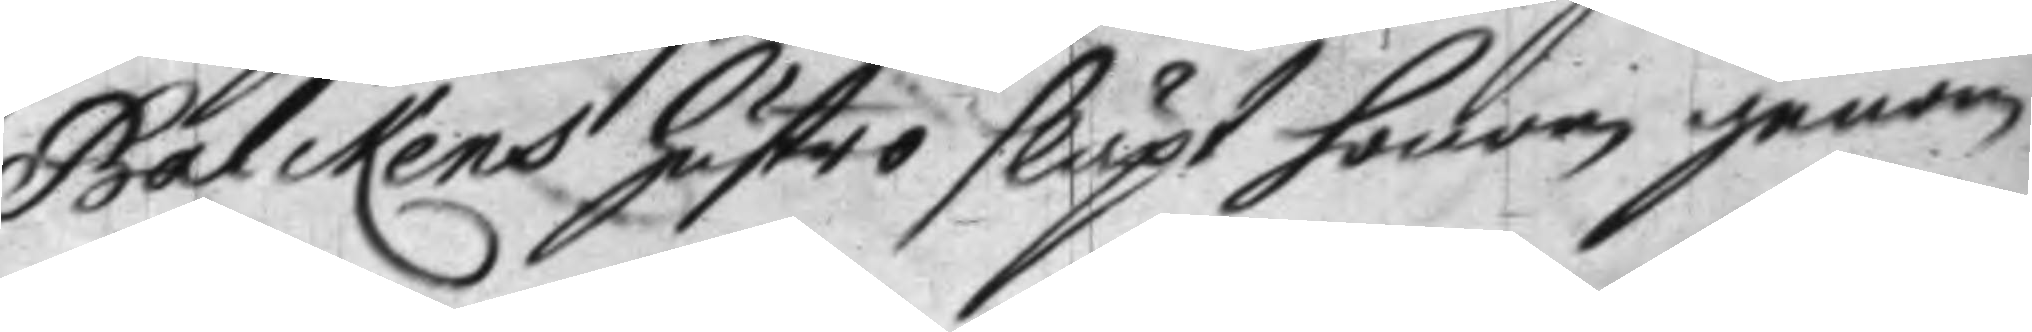Balckens hustro släpt honom genom.
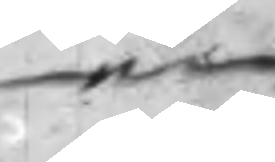en
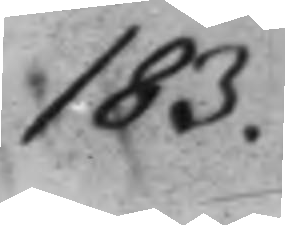183.
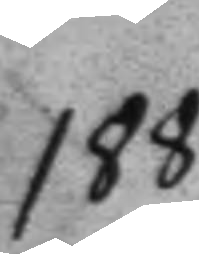188.
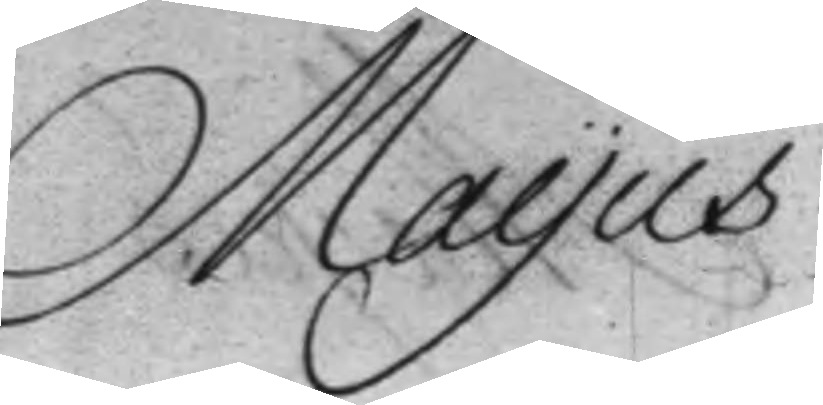Mayus
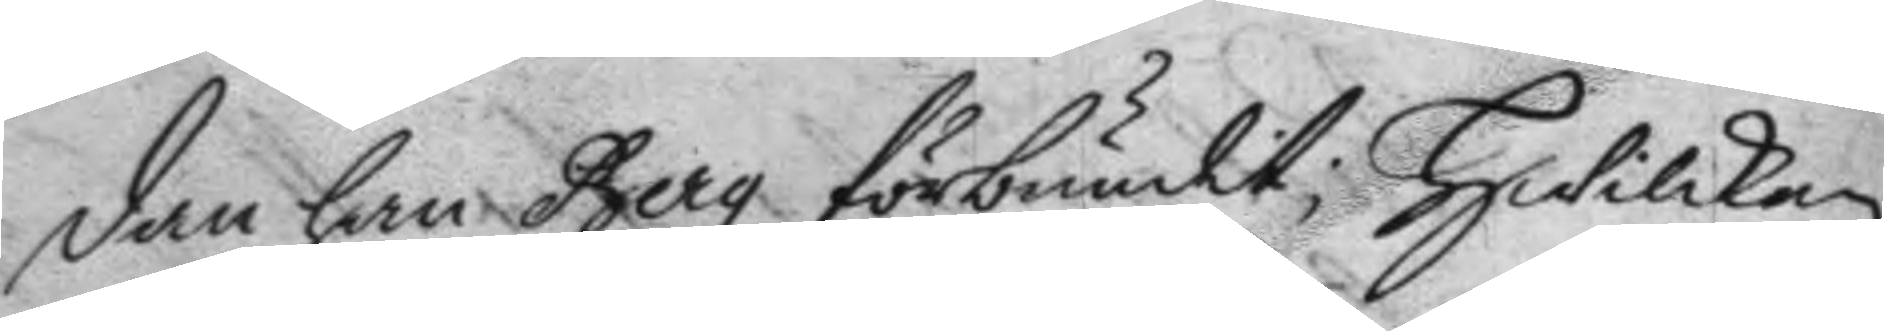dan han Berg förbundit; Hwilken 
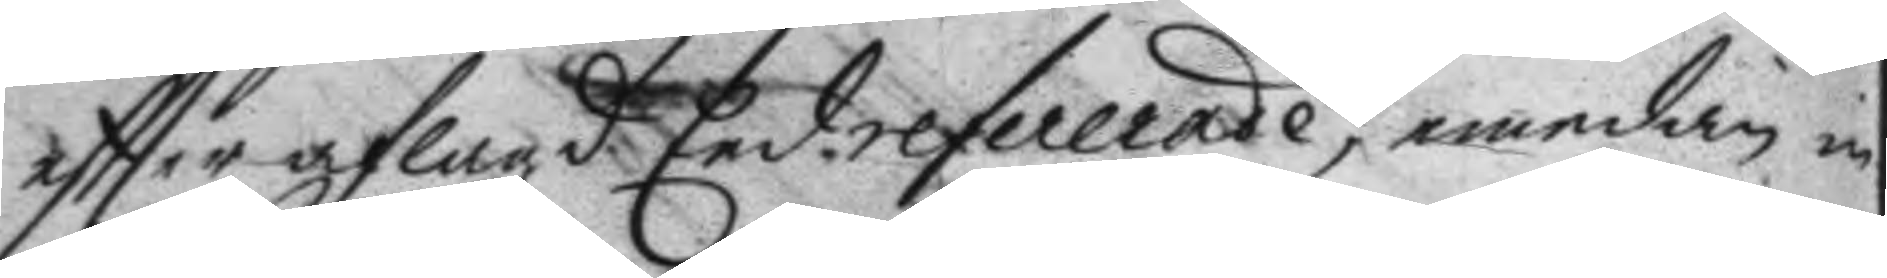eftter aflagde Eed refererade, emedan in¬
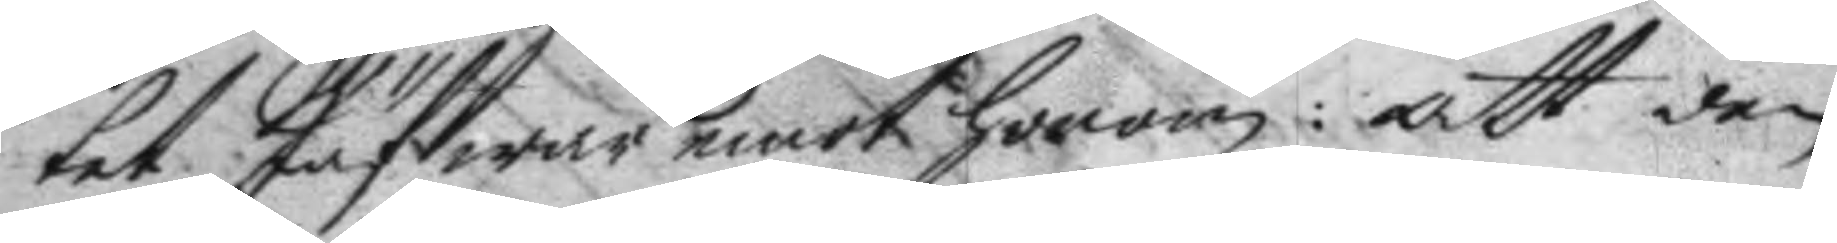tet Jäf war emot honom: att den
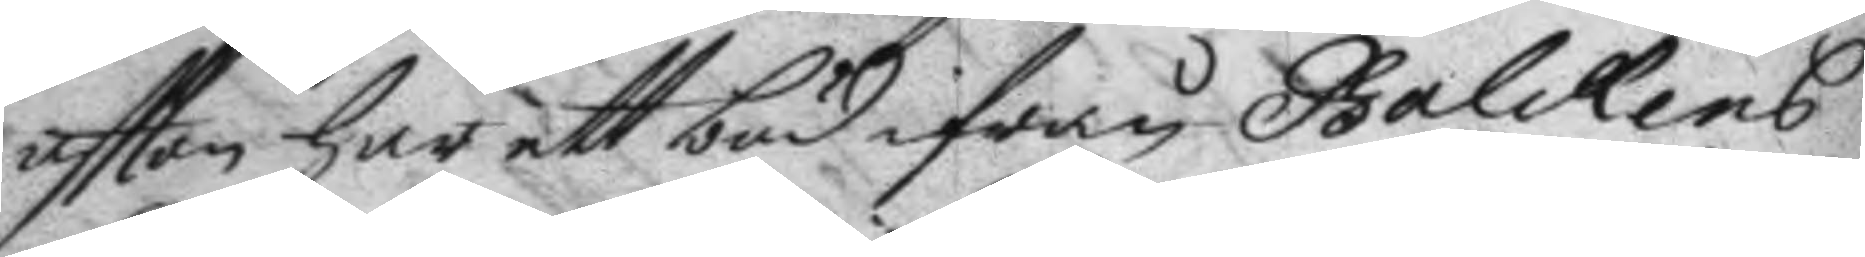aftton har ett bud ifrån Balckens
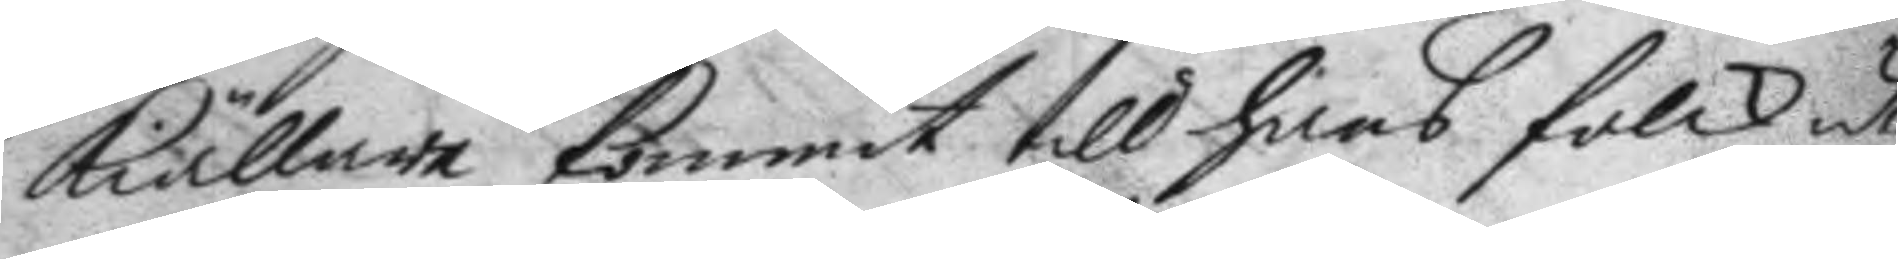kiällare kommit till hans folck uti
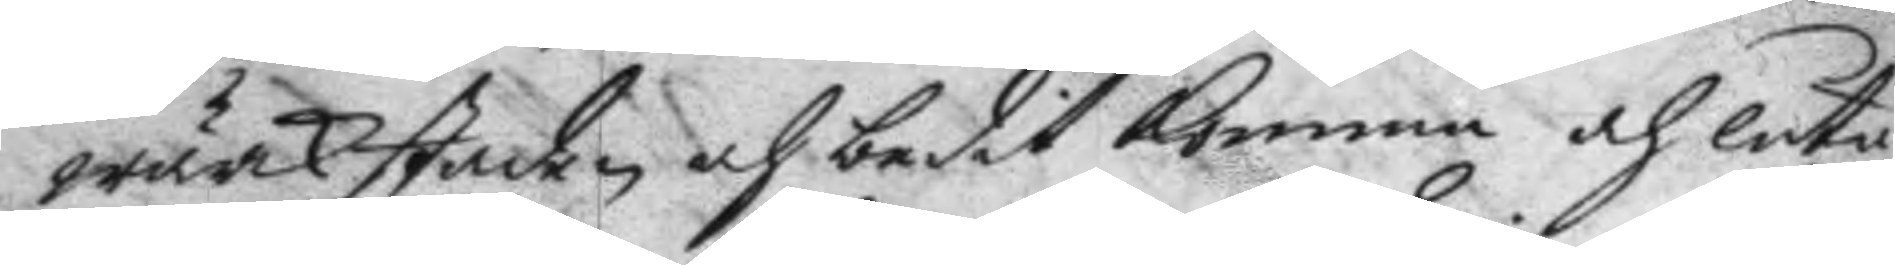wärkstaden och bedit komma och låta
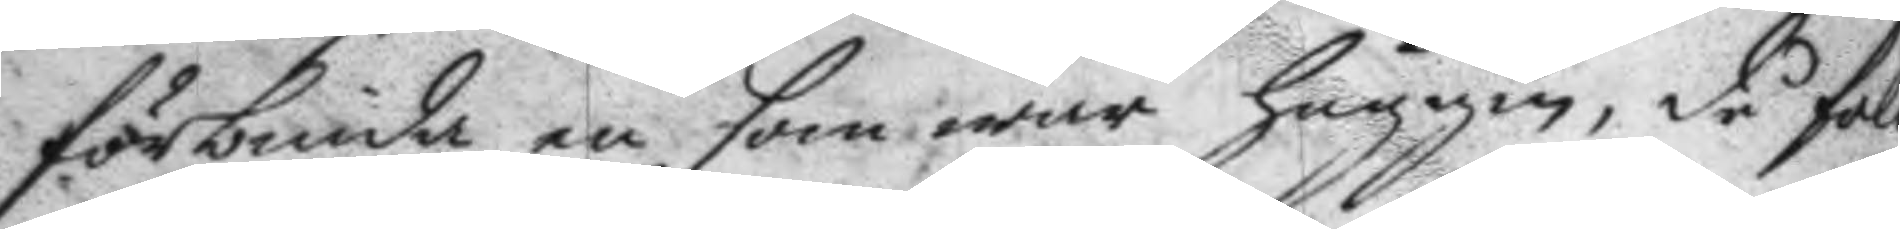förbinda en som war huggen, då fol¬
